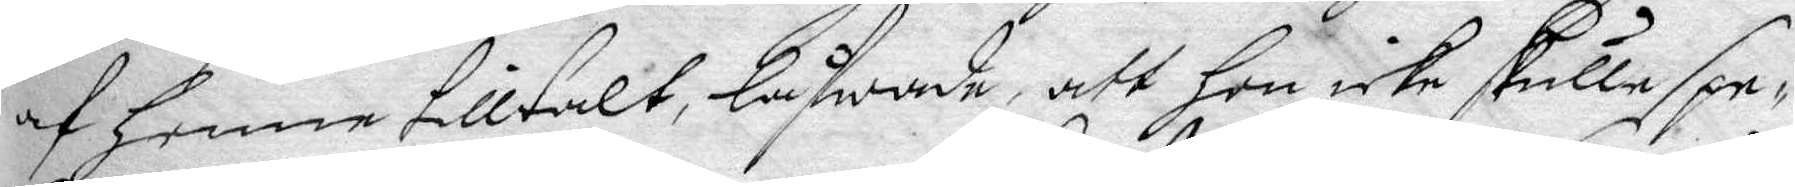af henne tilltalt, låfwade, att hon icke skulle spe¬
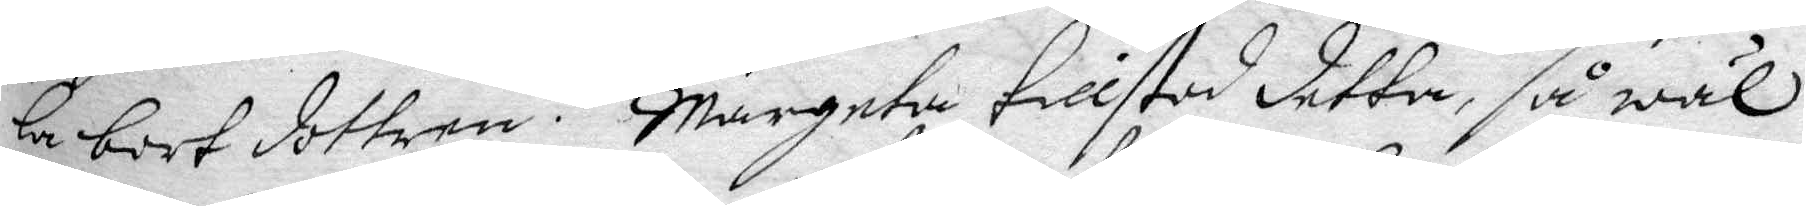la bort dottren. margeta tillstod detta, så wäl
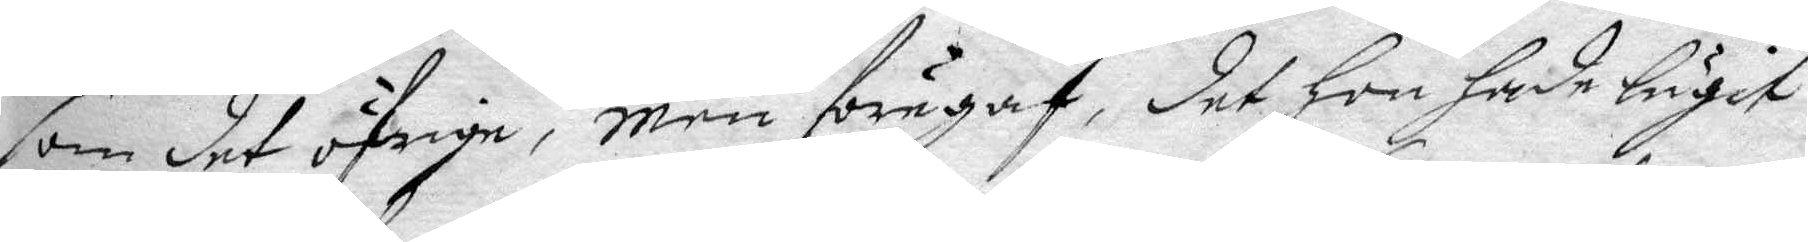som det öfrige, men föregaf, det hon hade lugit
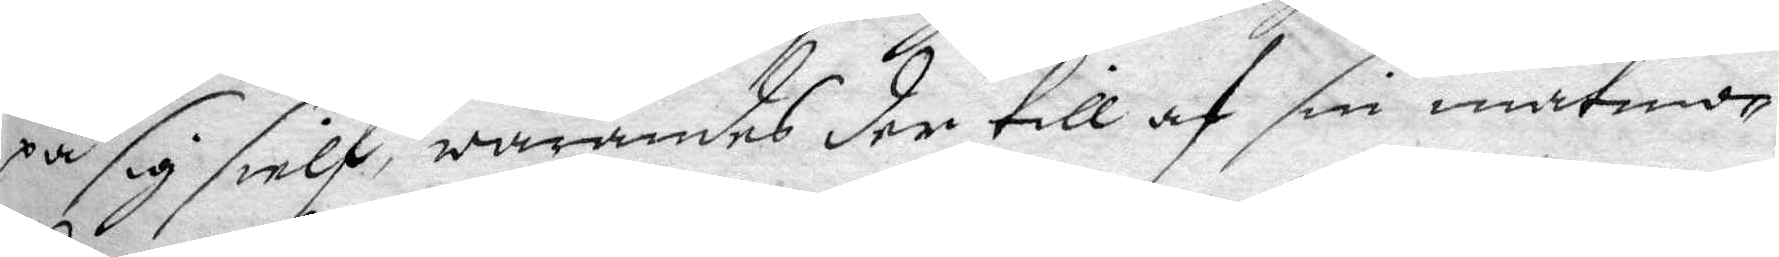på sig sielf, warandes der till af sin matmo¬
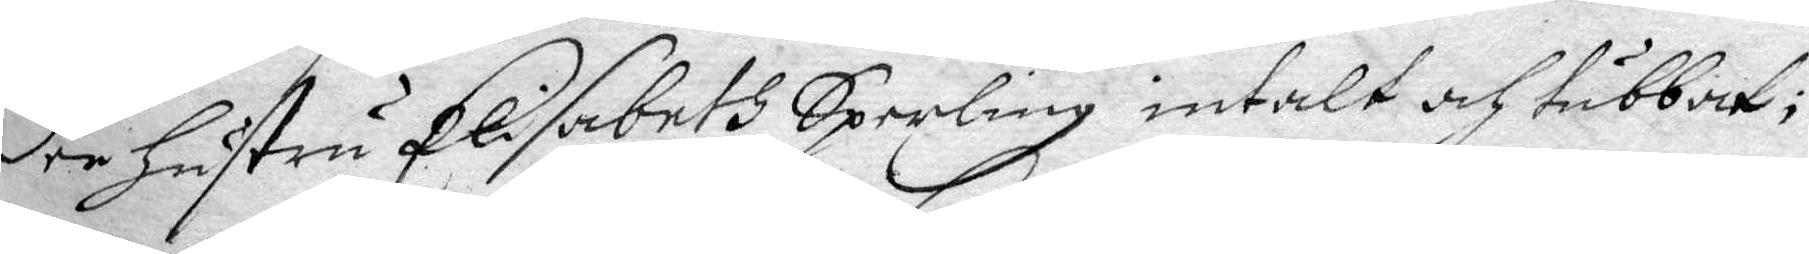der hustru Elisabeth Sperling intalt och tubbat;
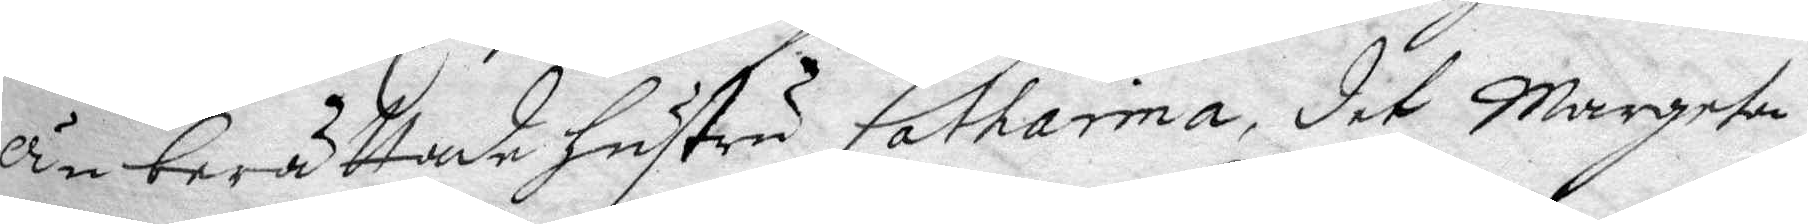än berättade hustru Catharina, det Margeta
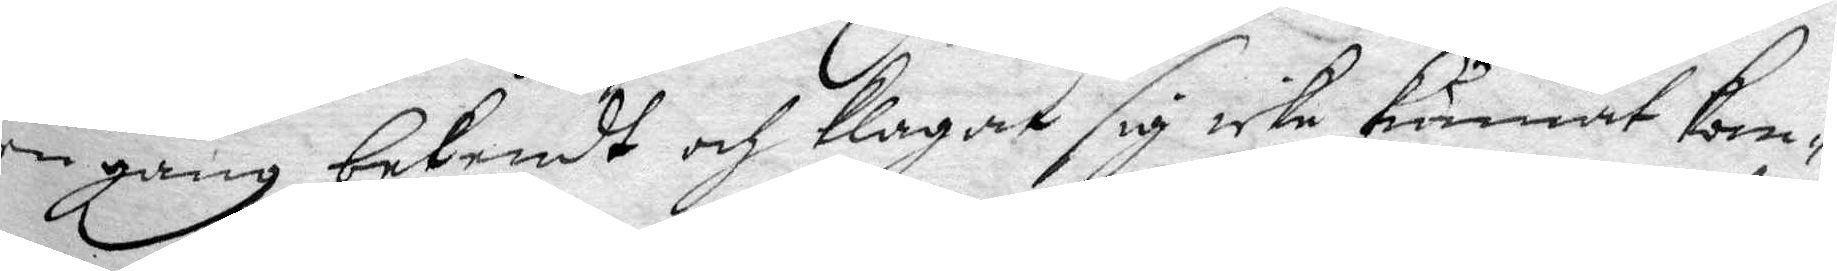en gång bekendt och klagat sig icke kunnat kom¬
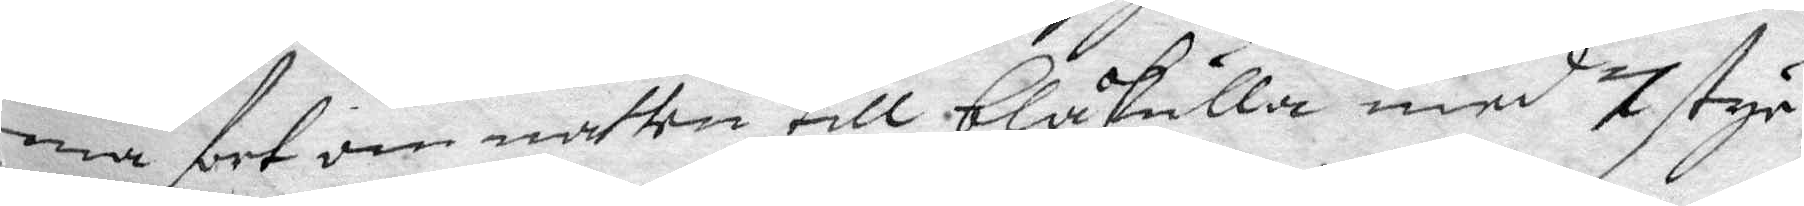ma fort om natten till blåkulla med 7 styc¬
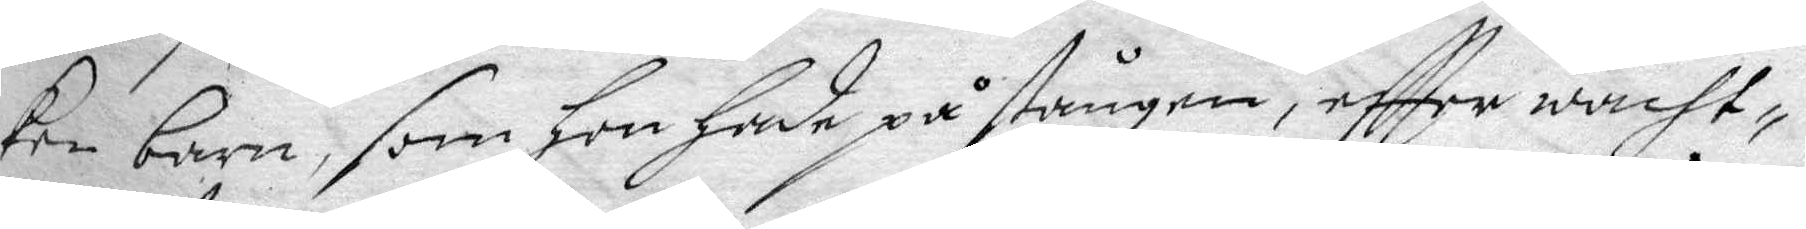ken barn, som hon hade på stången, eftter wacht¬
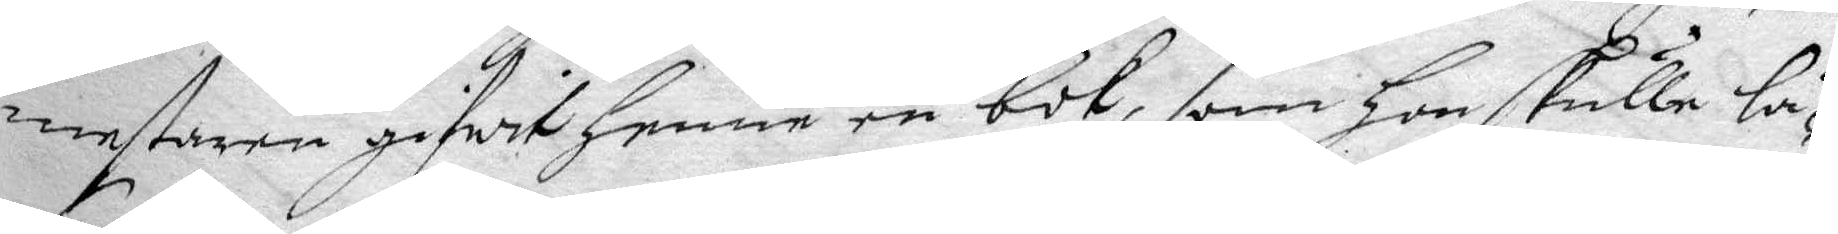mestaren gifwit henne en bok, som hon skulle lä¬
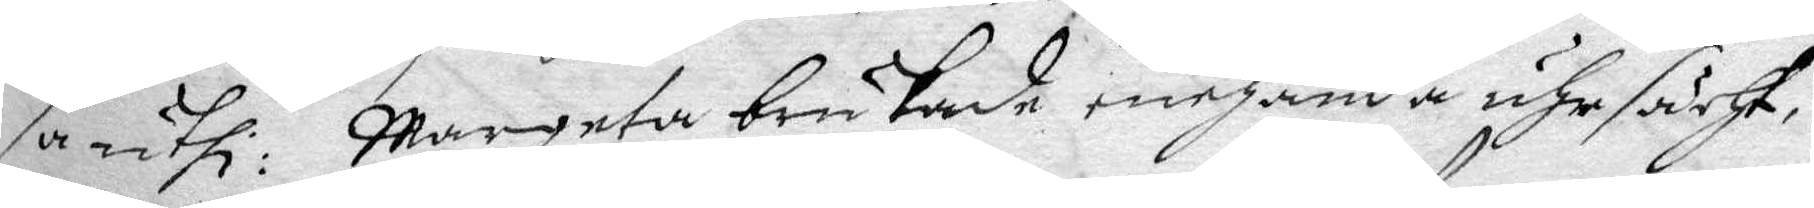sa uthi: Margeta brukade enehanda uhrsächt,
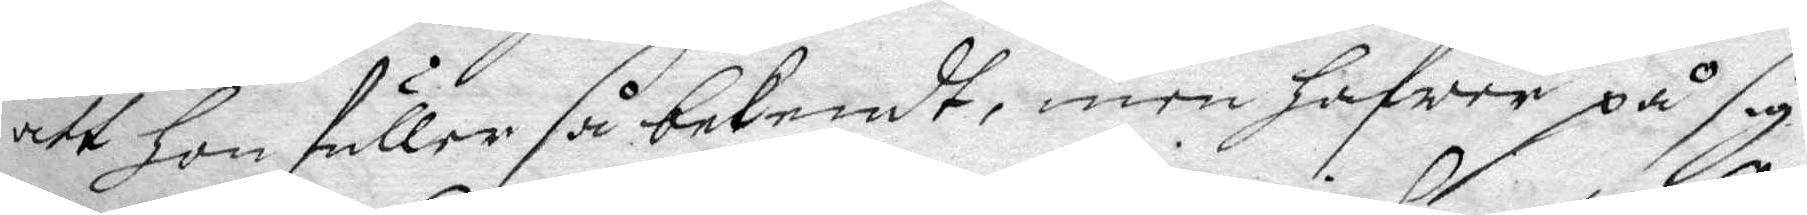att hon fuller så bekendt, men hafwer på sig
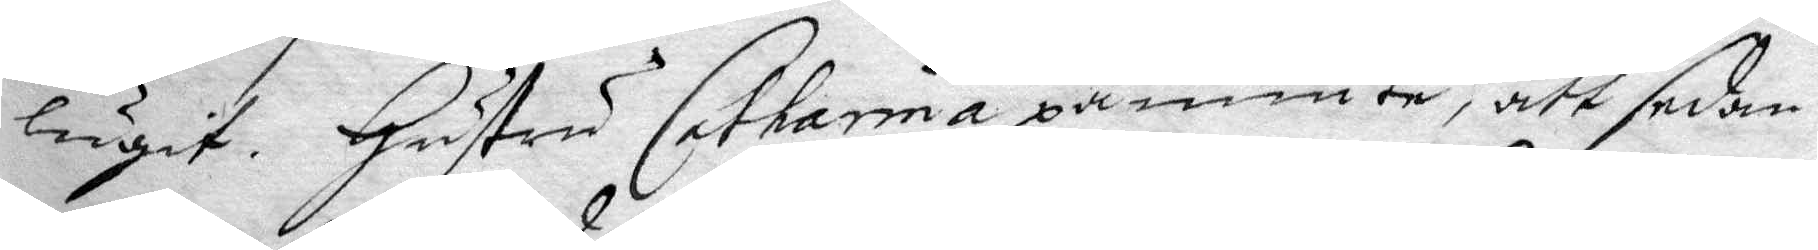lugit. hustru Catharina påminte, att sedan
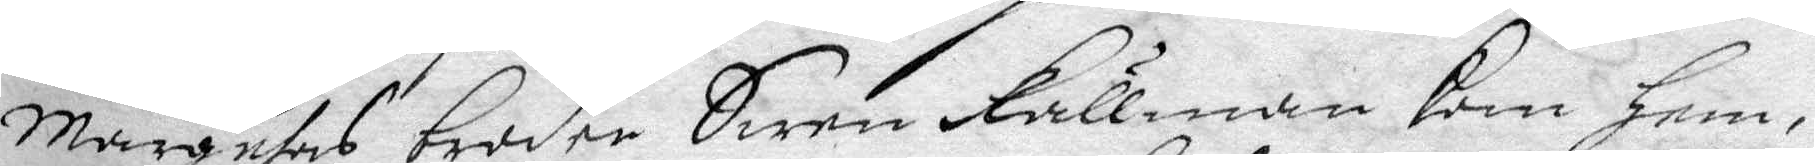margetas broder Swen Kullman kom hem,
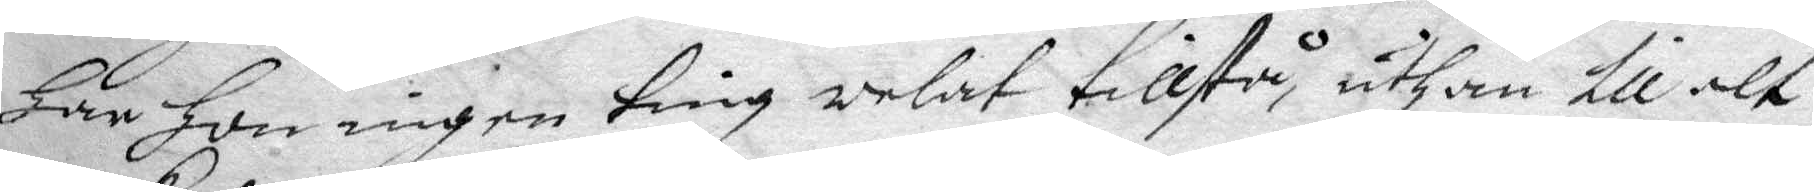har hon ingen ting welat tillstå, uthan till alt
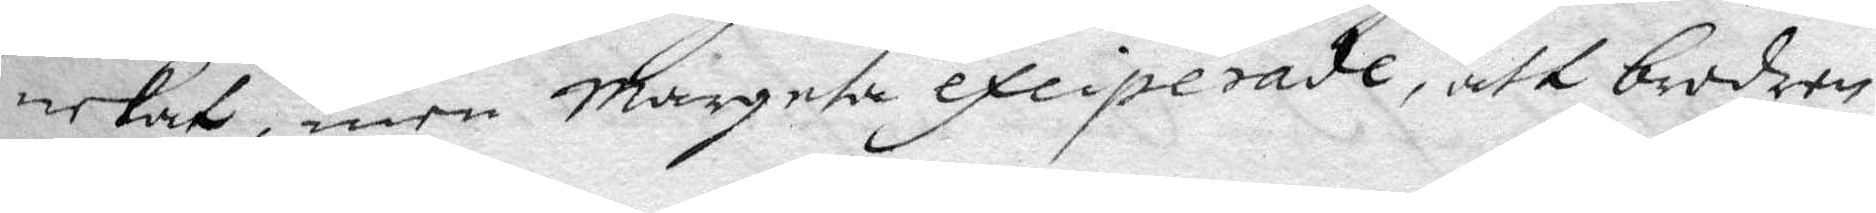nekat, men Margeta exciperade, att brodern
